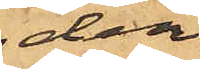den,
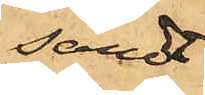sändt
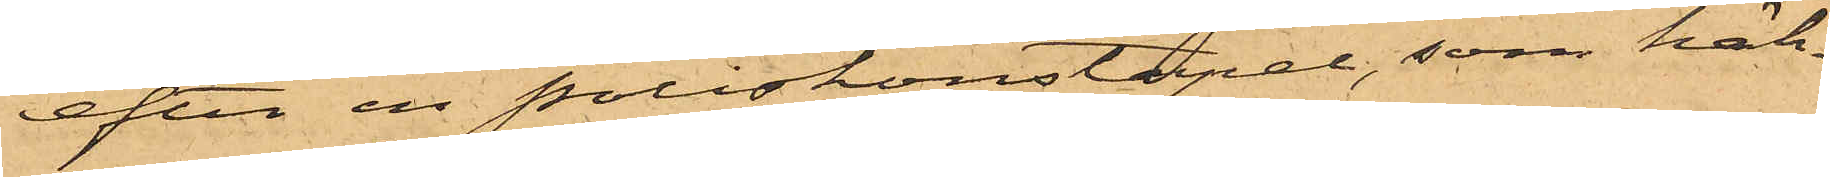efter en poliskonstapel, som häk¬
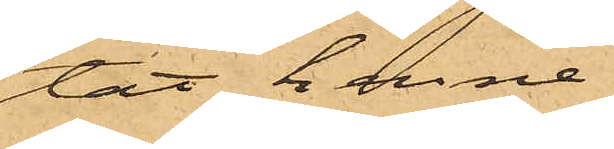tat henne.
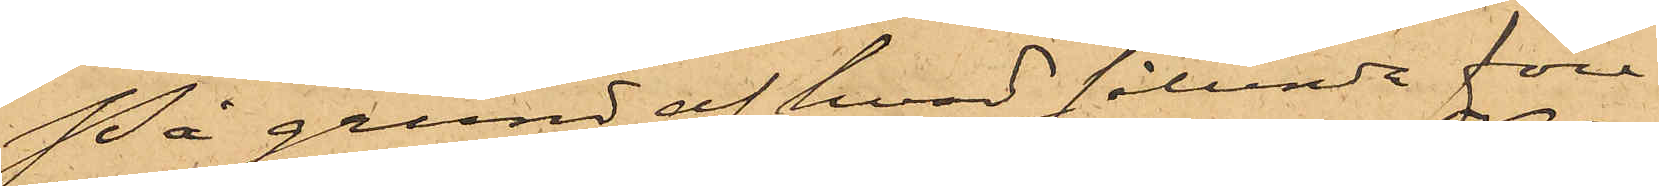På grund af hvad sålunda före¬
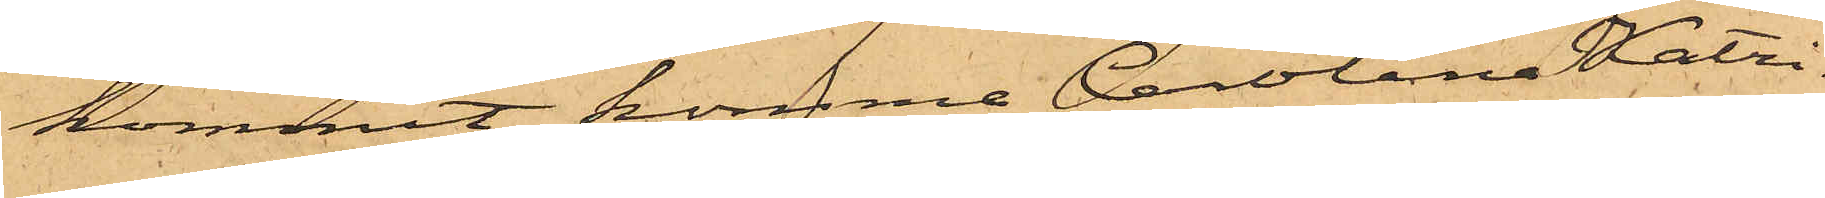kommit komma Carolina Katri¬
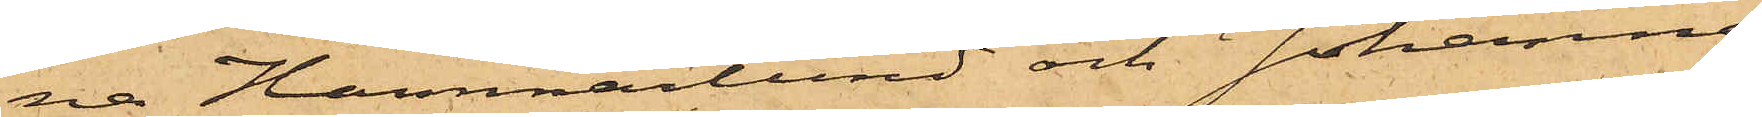na Hammarlund och Johanna
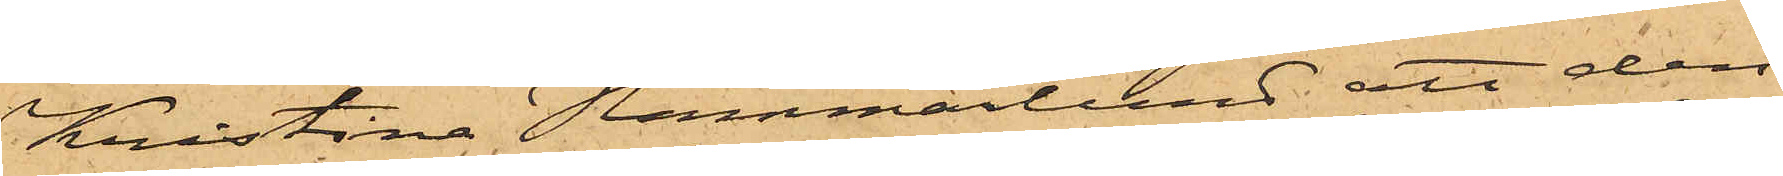Kristina Hammarlund att den¬
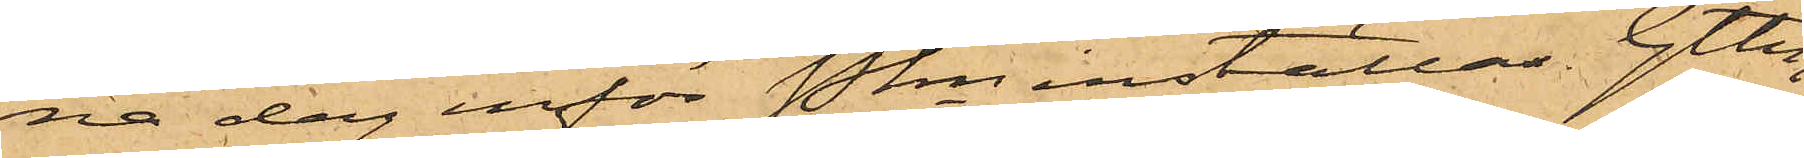na dag inför Pkn inställas. Gtbrg
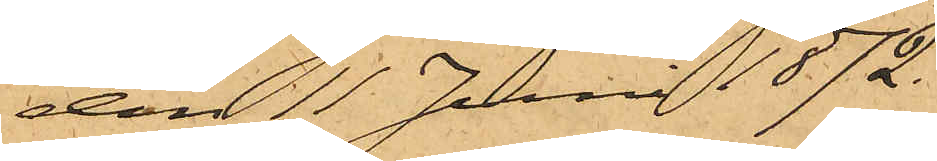den 11 Juni 1872.
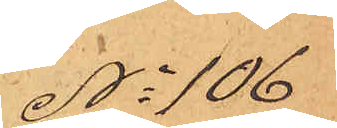No 106
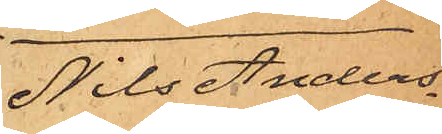Nils Anders¬
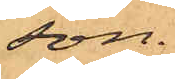son.
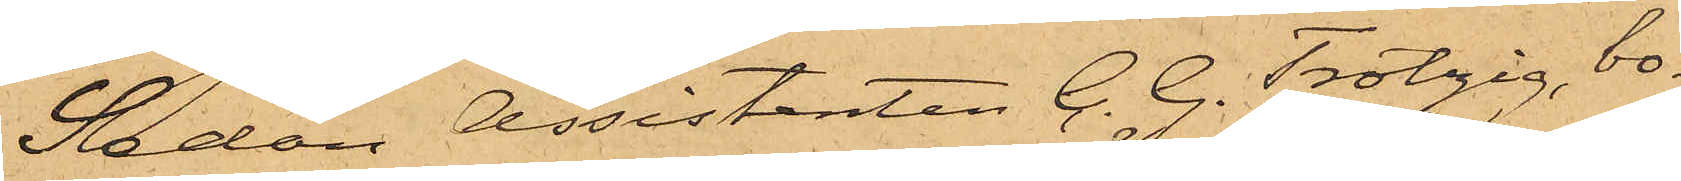Sedan Assistenten C. G. Trotzig, bo¬
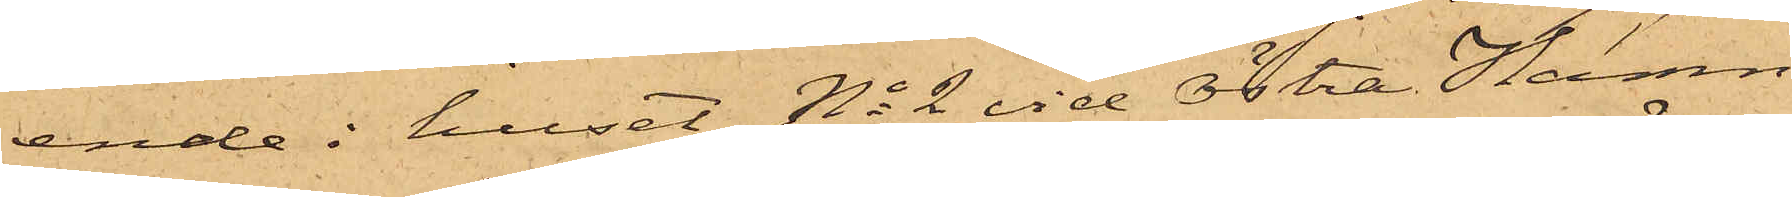ende i huset No 2 vid Östra Hamn¬
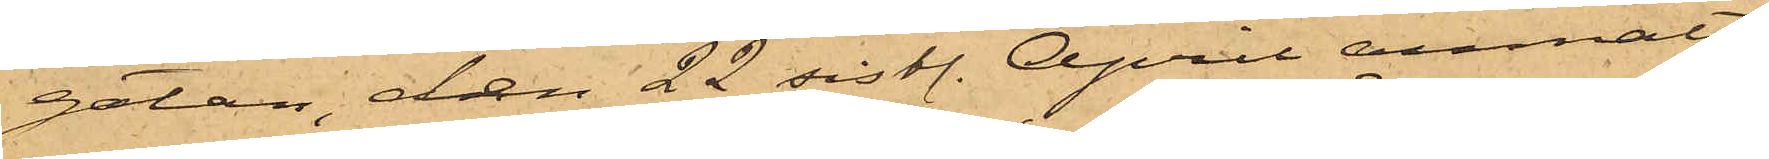gatan, den 22 sistl. April anmält
